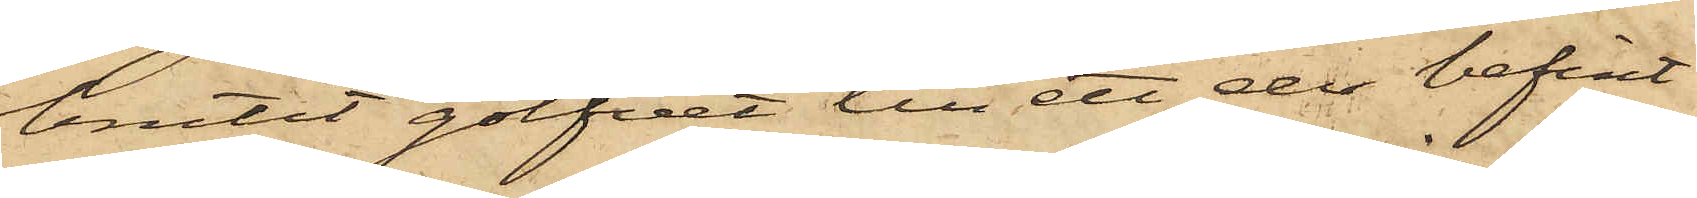brutit golfvet till ett der befint¬
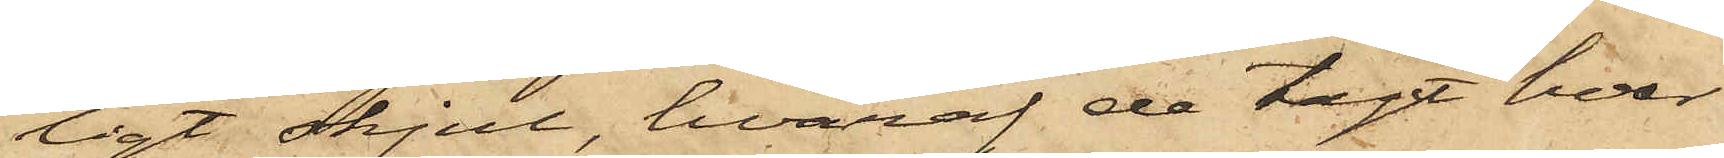ligt skjul, hvaraf de tagt hvar
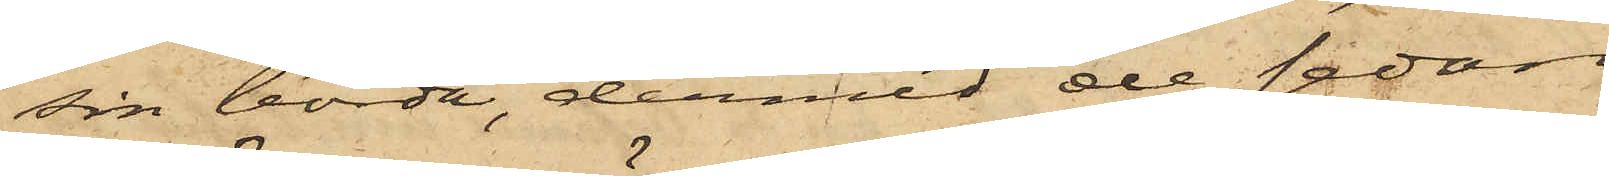sin börda, dermed de sedan
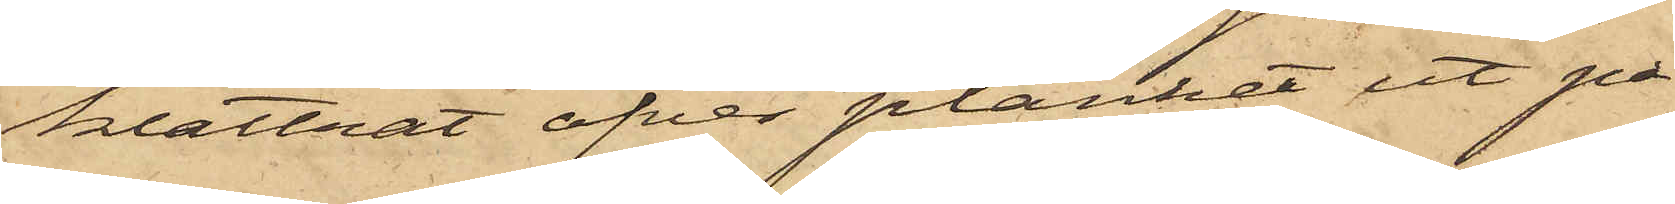klättrat öfver planket ut på
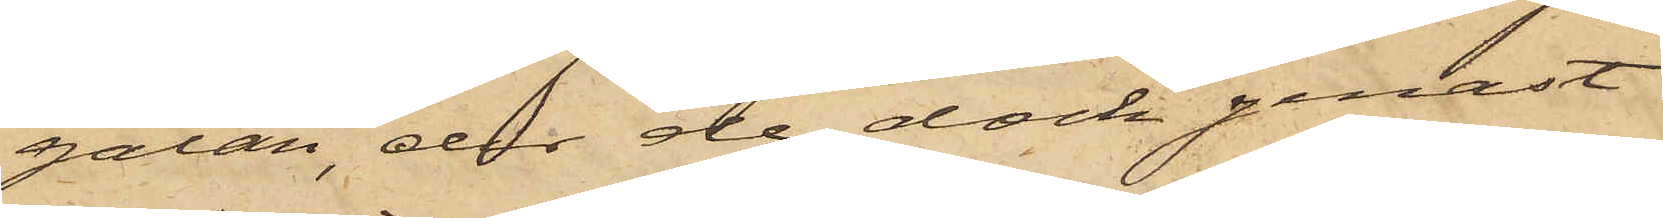gatan, der de dock genast
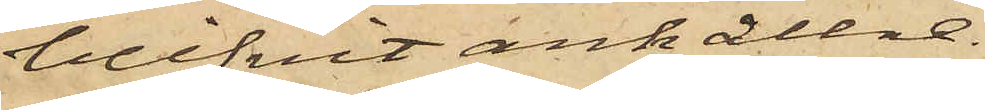blifvit anhållne.
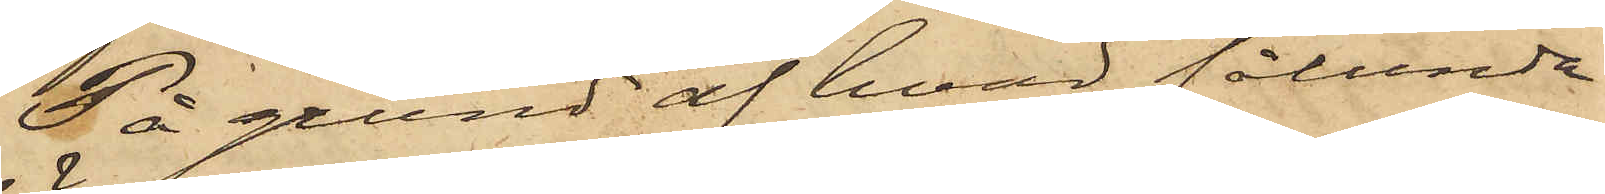På grund af hvad sålunda
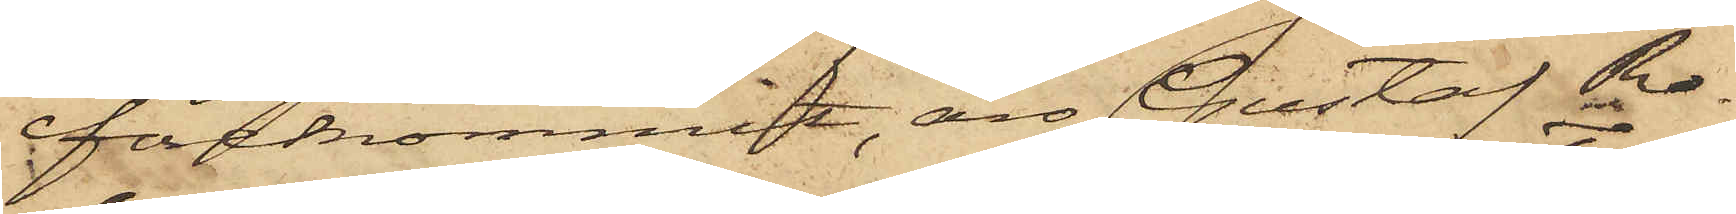förekommit, äro Gustaf Ro¬
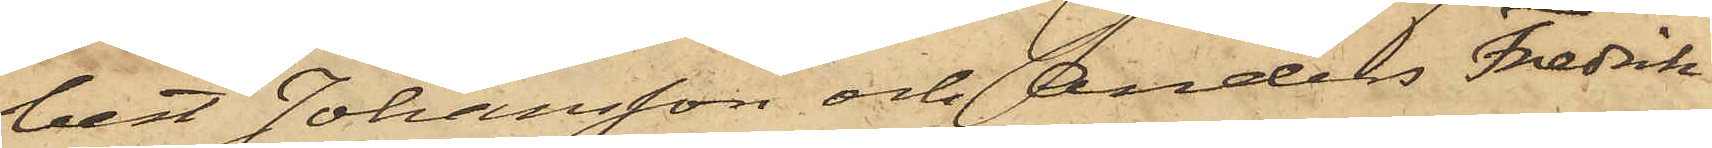bert Johansson och Anders Fredrik
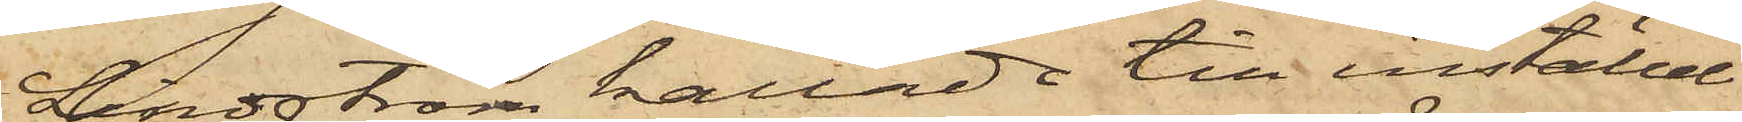Lindström kallade till inställel¬
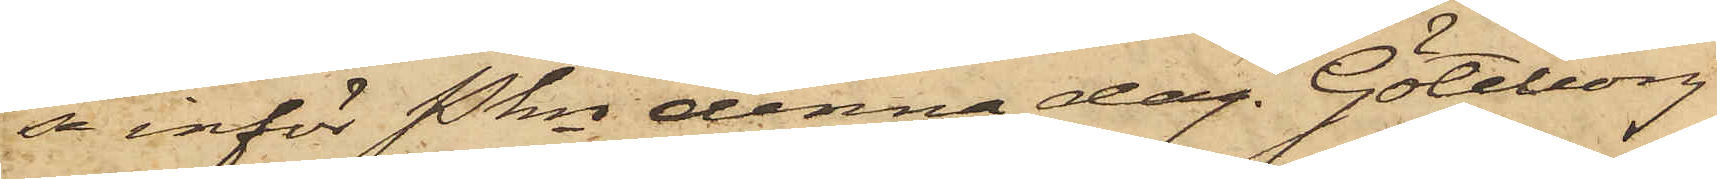se inför Pkn denna dag. Göteborg
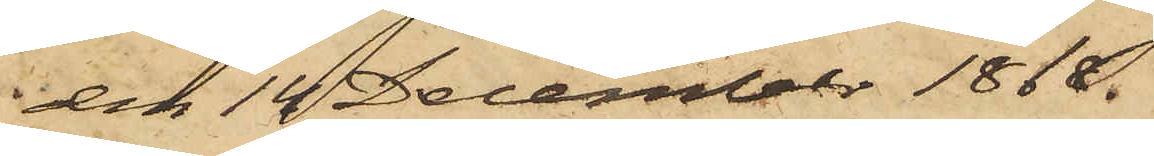den 14 December 1868.
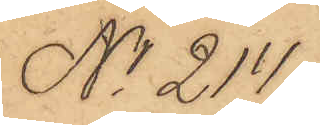No 214.
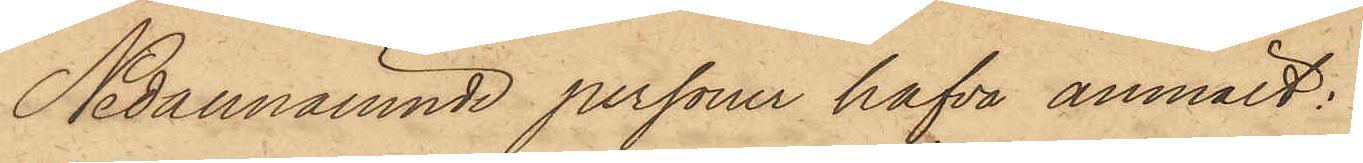Nedannämnde personer hafva anmält:
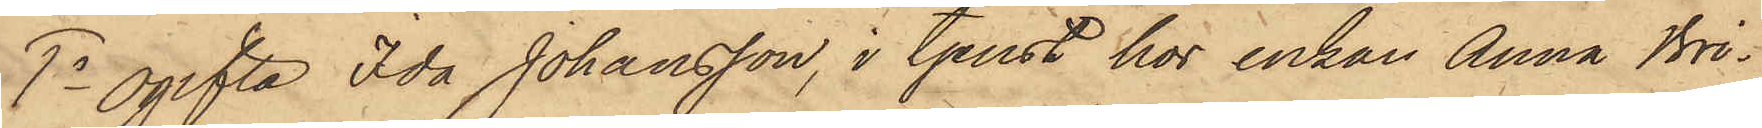7o Ogifta Ida Johansson, i tjenst hos Enkan Anna Bri¬
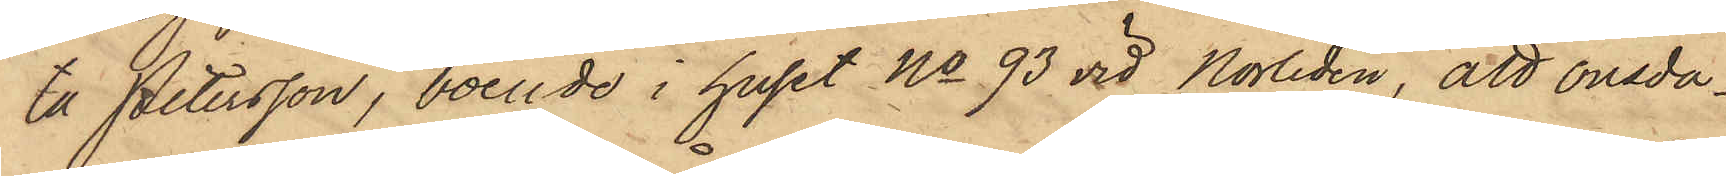ta Petersson, boende i huset No 93 vid Norliden, att onsda¬
